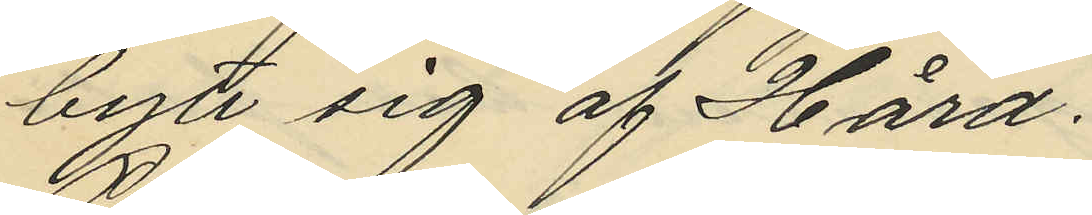bytt sig af Hård
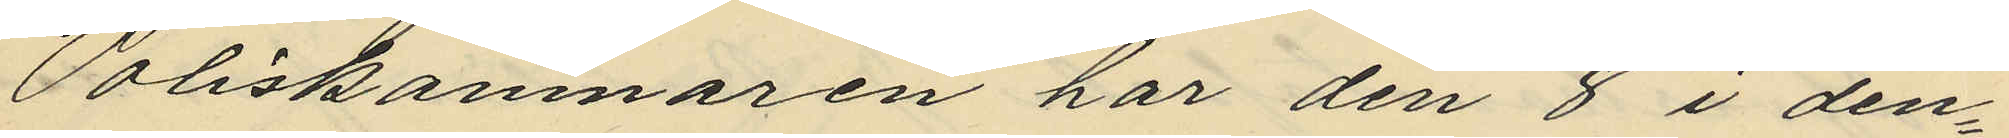Poliskamnaren har den 8 i den¬
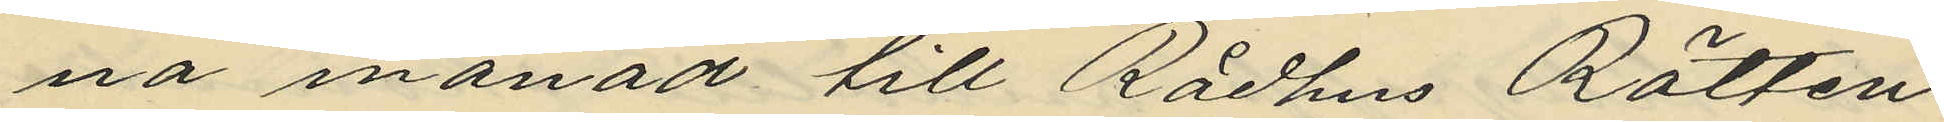na månad till Rådhus Rätten
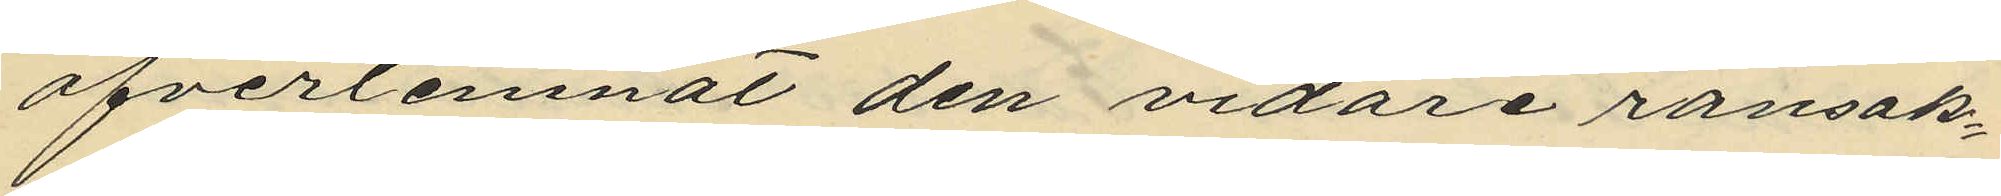öfverlemnat den vidare ransak¬
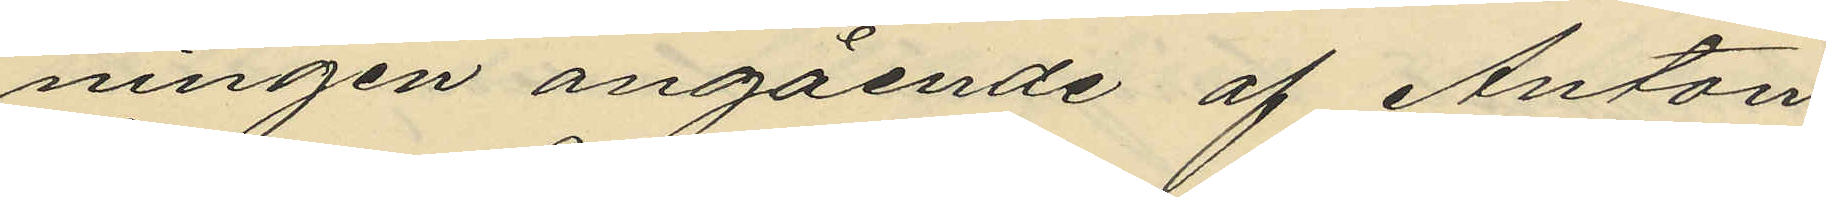ningen angående af Anton
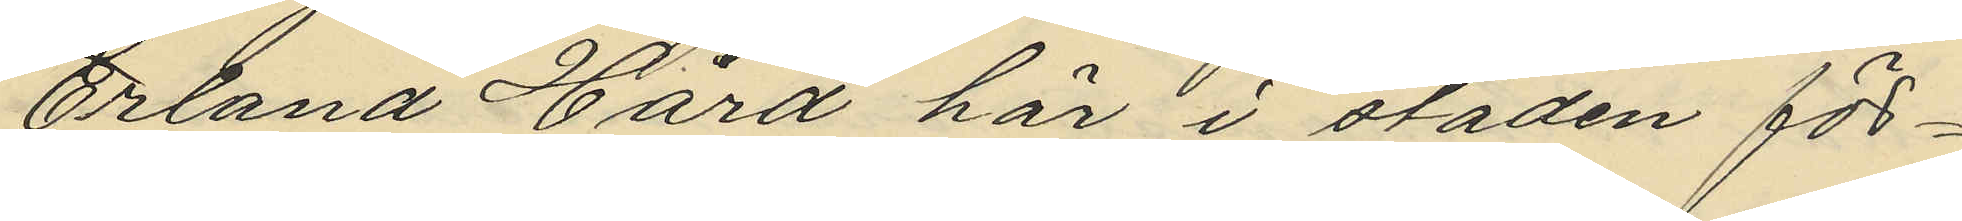Erland Hård här i staden för¬
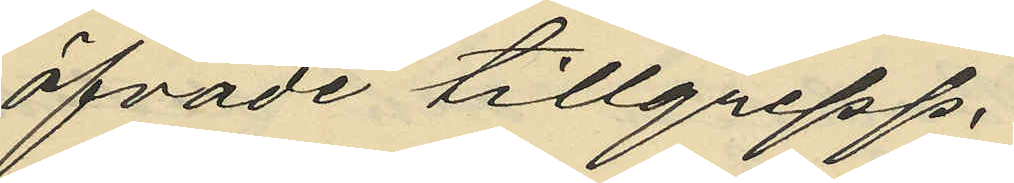öfvade tillgrepp.
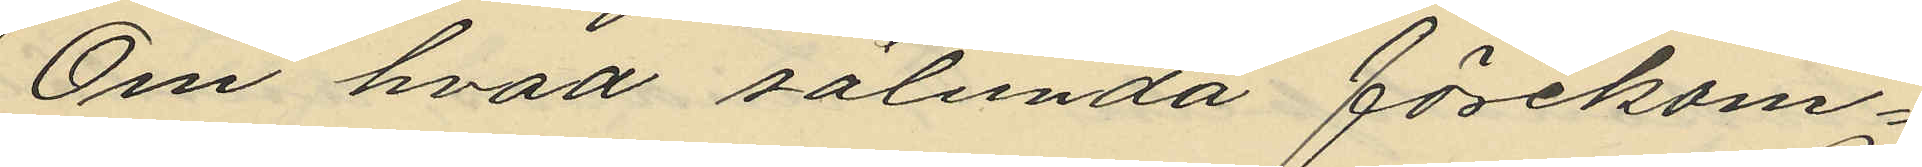Om hvad sålunda förekom¬
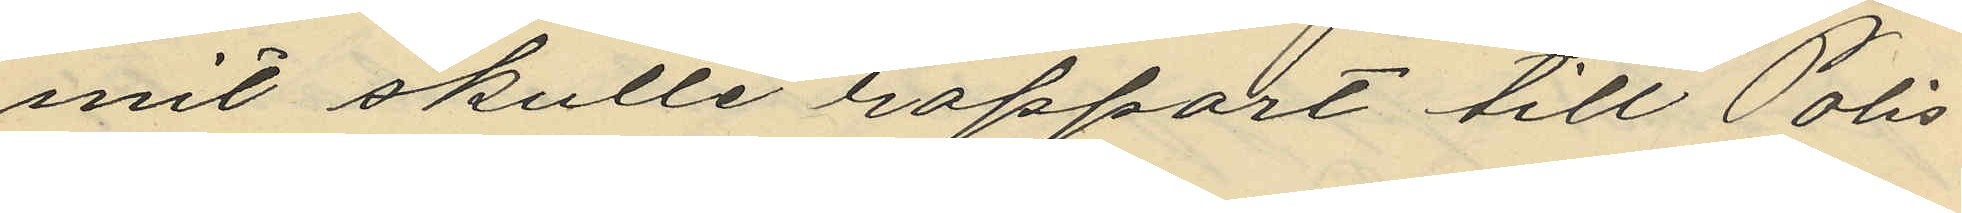mit skulle rapport till Polis¬
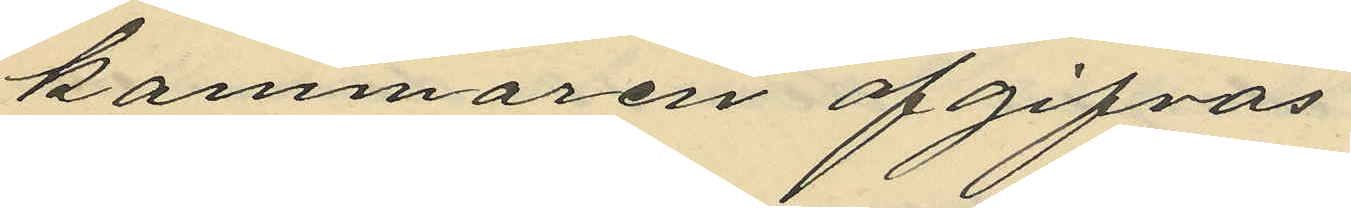kammaren afgifvas
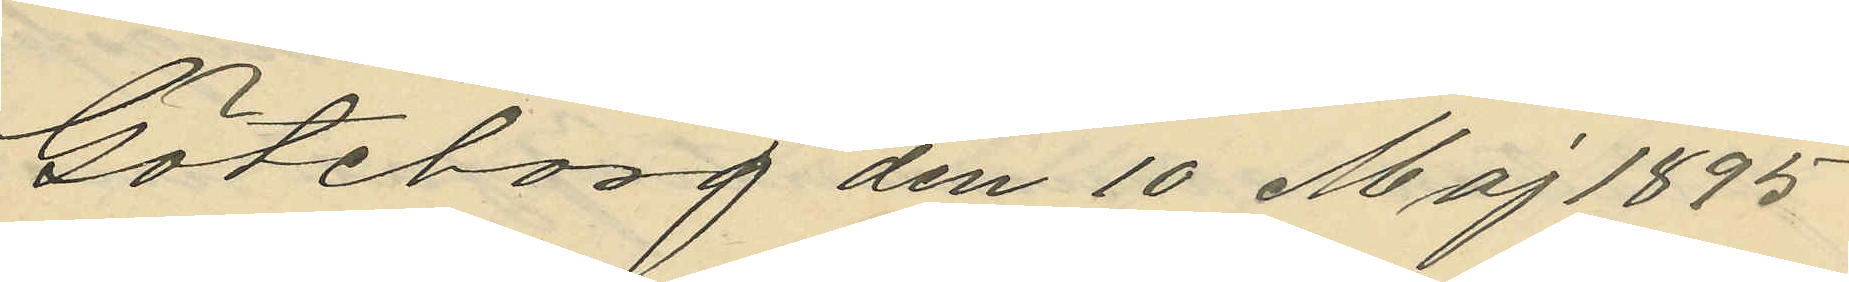Göteborg den 10 Maj 1895
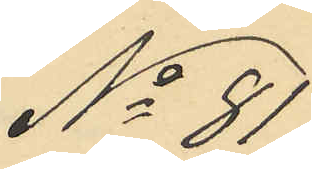No 81
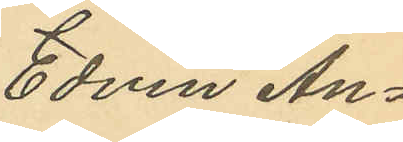Edvin An¬
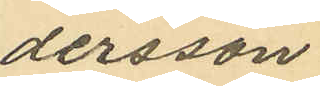dersson
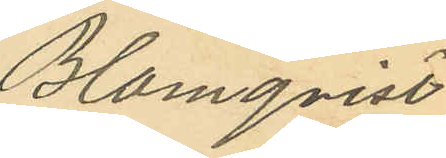Blomqvist
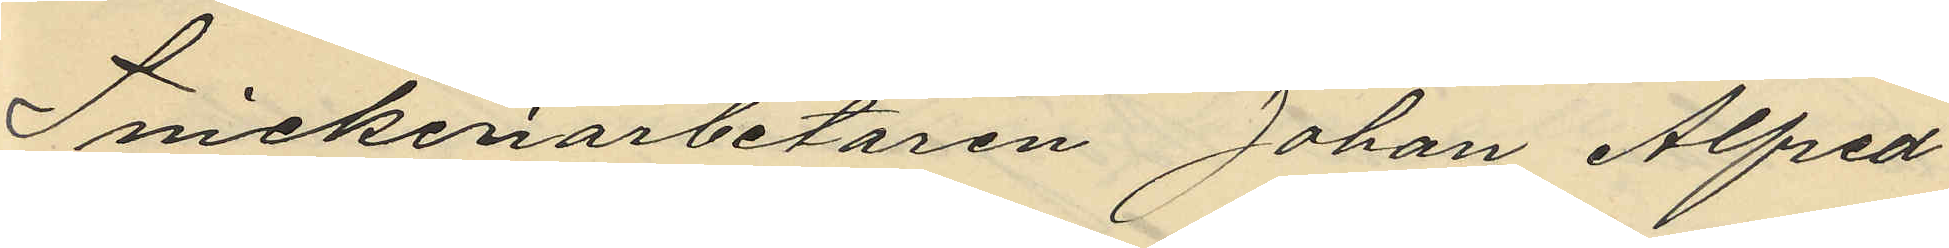Snickeriarbetaren Johan Alfred
